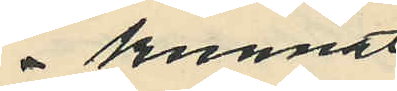kunnat
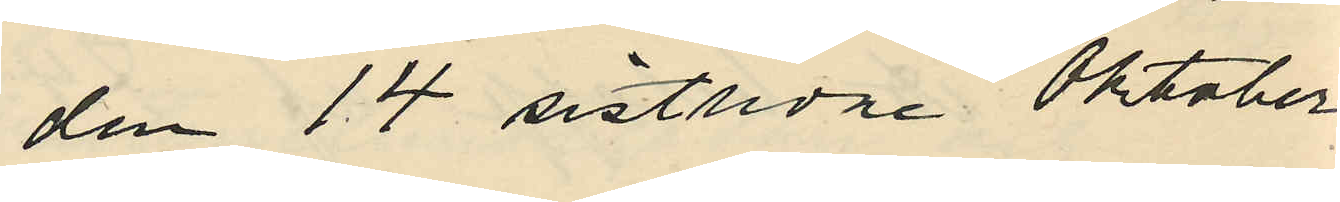den 14 sistlidne Oktober
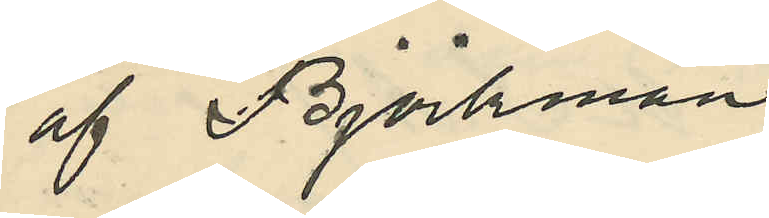af Björkman
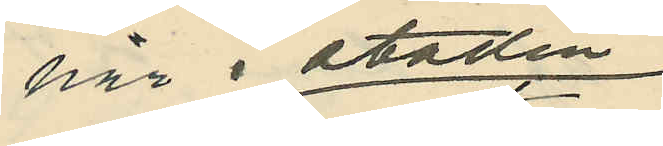här i staden
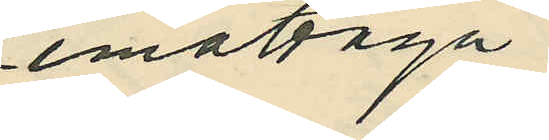emottaga
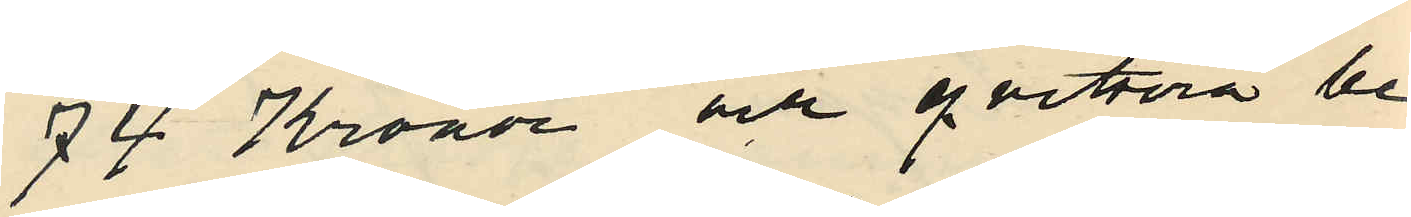74 Kronor och qvittera be¬
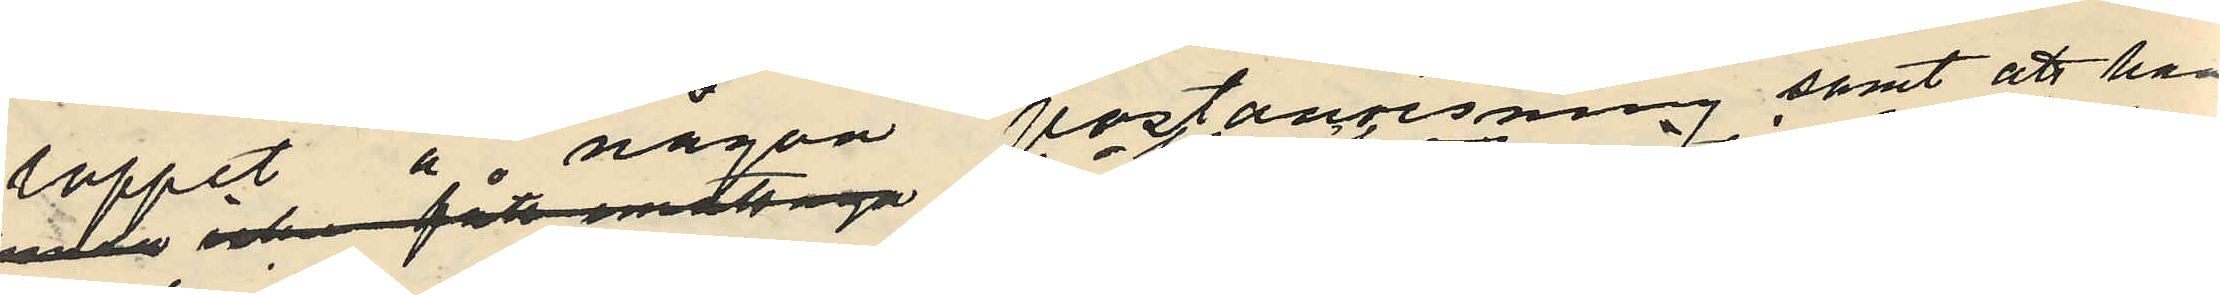loppet å någon postanvisning samt att han
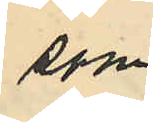som
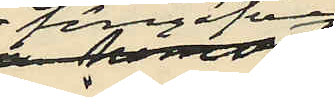föregifves
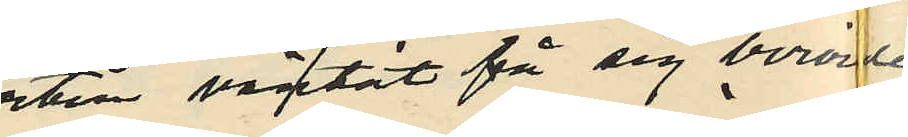väntat få sig berörde
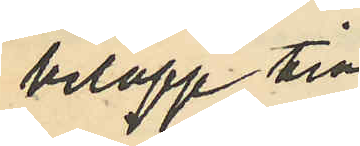belopp till¬
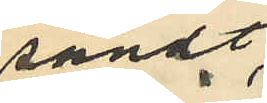sändt
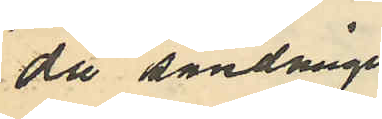då sändningen
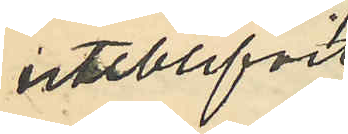uteblifvit,
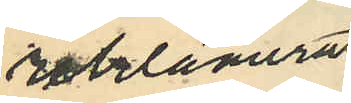reklamerat
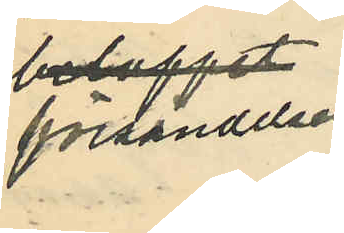försandelsen
